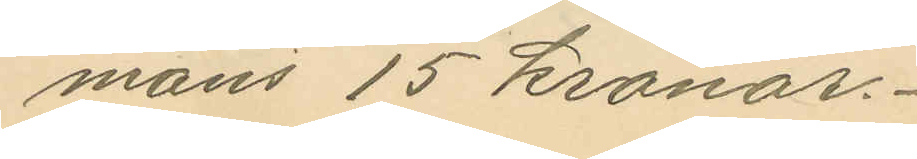mans 15 kronor.
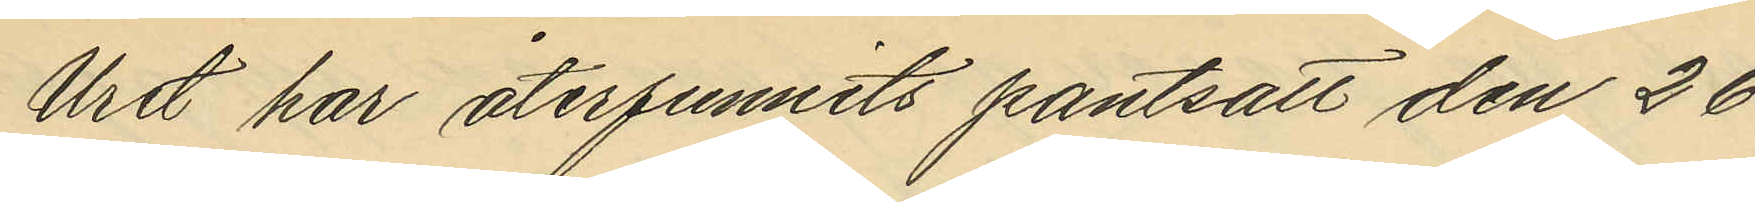Uret har återfunnits pantsatt den 26
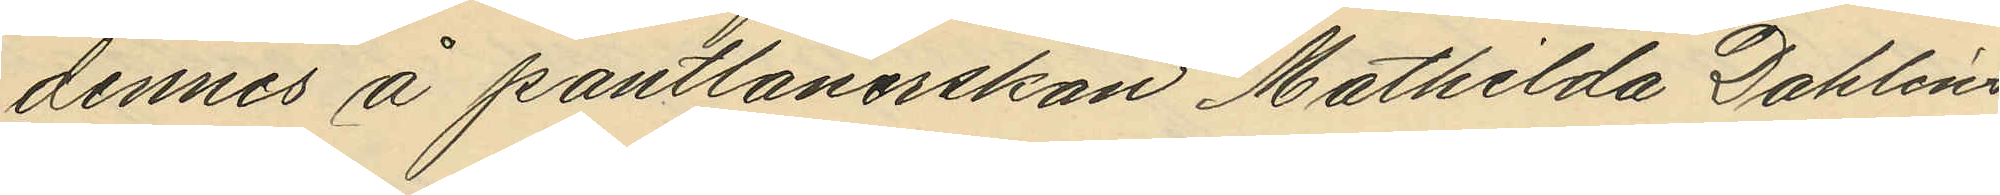dennes å pantlånerskan Mathilda Dahlins
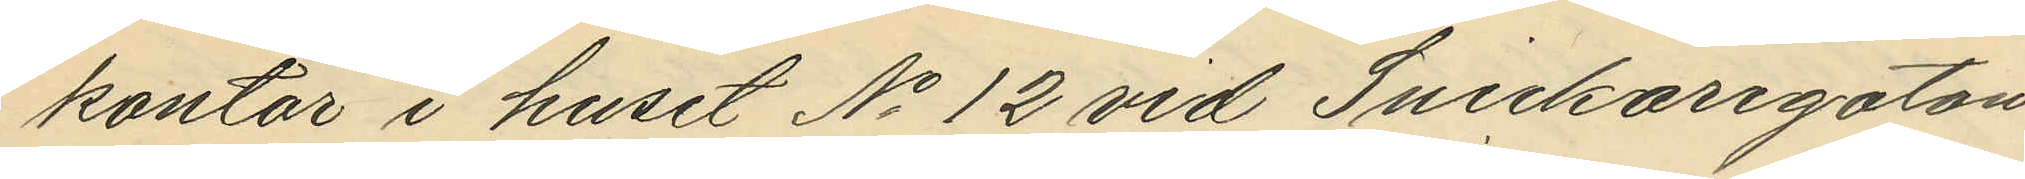kontor i huset No 12 vid Snickaregatan
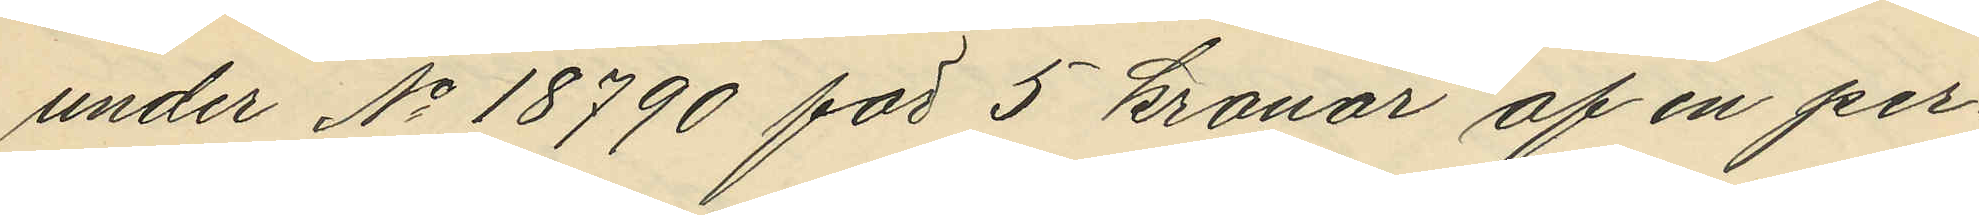under No 18790 för 5 kronor af en per¬
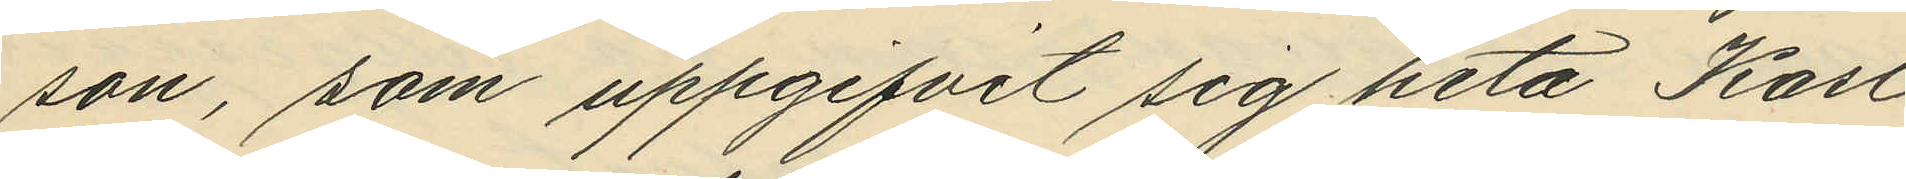son, som uppgifvit sig heta Karl
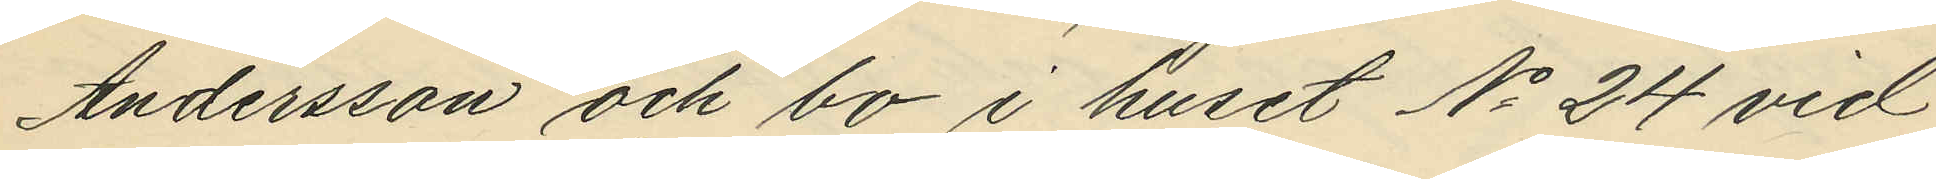Andersson och bo i huset No 24 vid
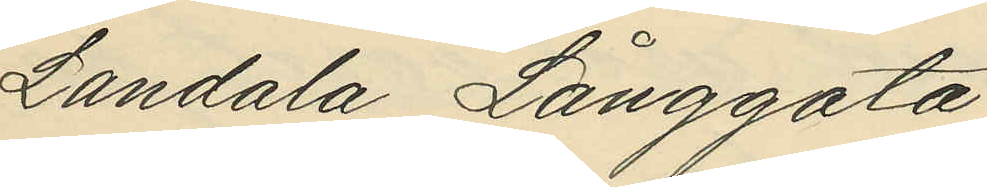Landala Långgata.
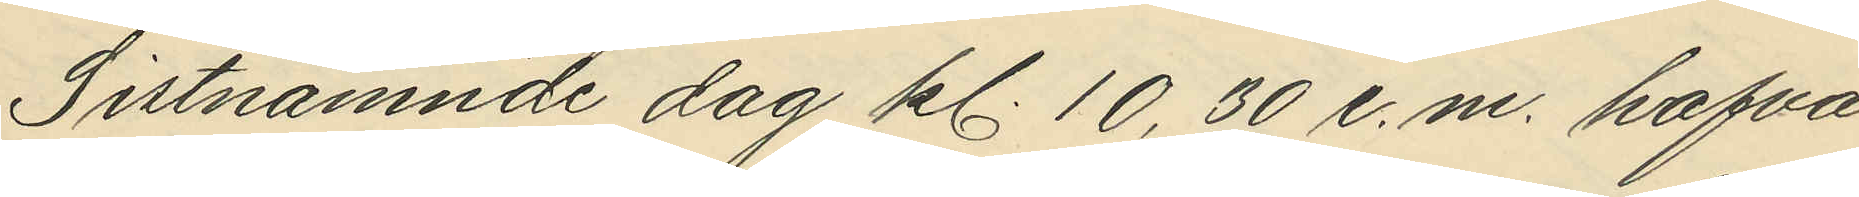Sistnämnde dag kl. 10,30 e.m. hafva
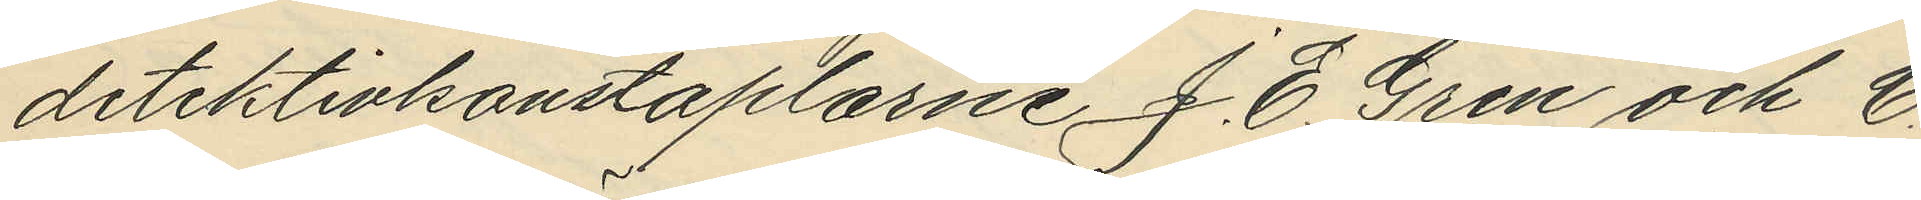detektivkonstaplarne J. E. Gren och C.
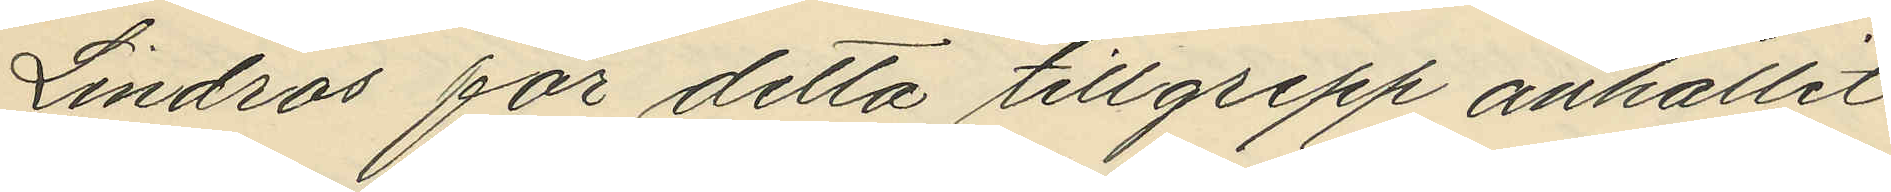Lindros för detta tillgrepp anhållit
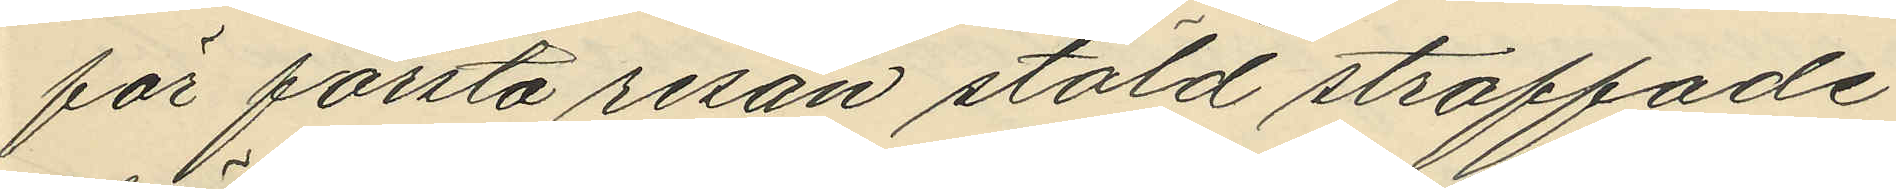för första resan stöld straffade
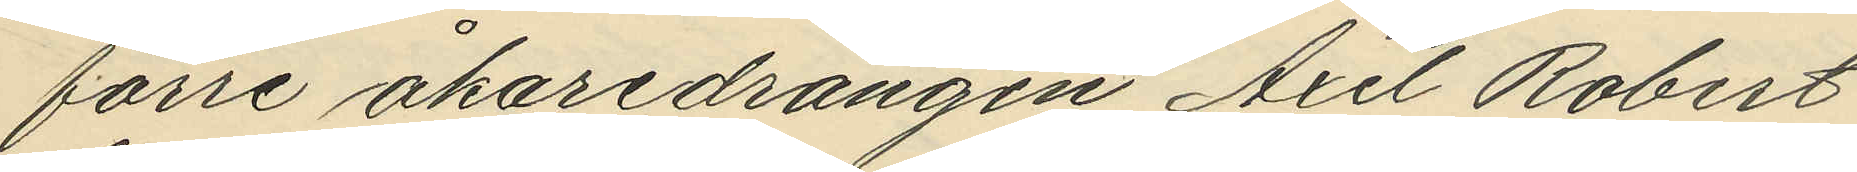förre åkaredrängen Axel Robert
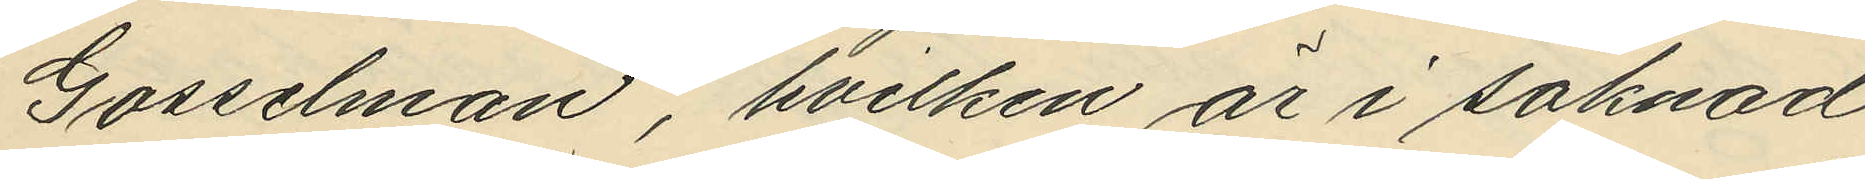Gosselman, hvilken är i saknad
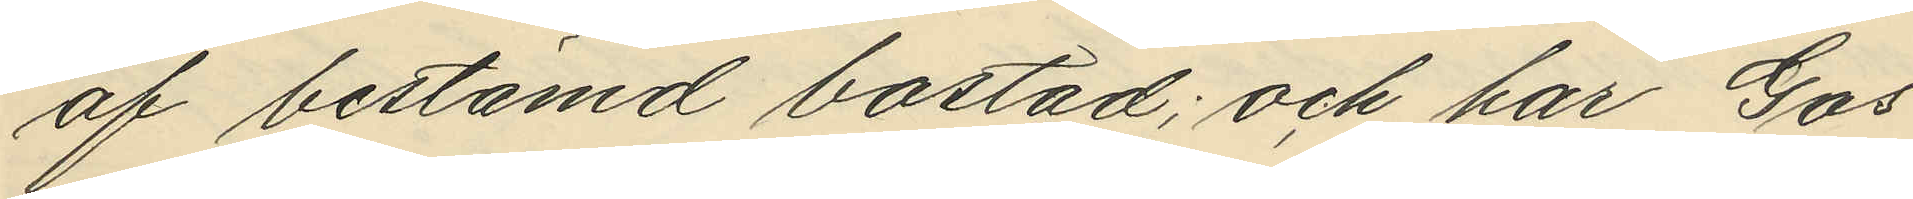af bestämd bostad; och har Gos¬
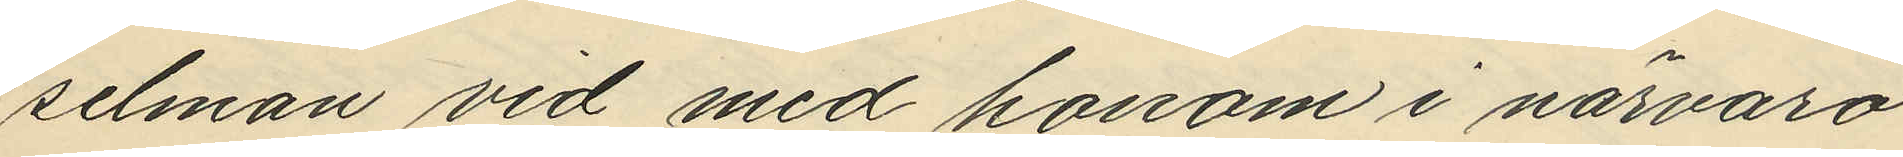selman vid med honom i närvaro
